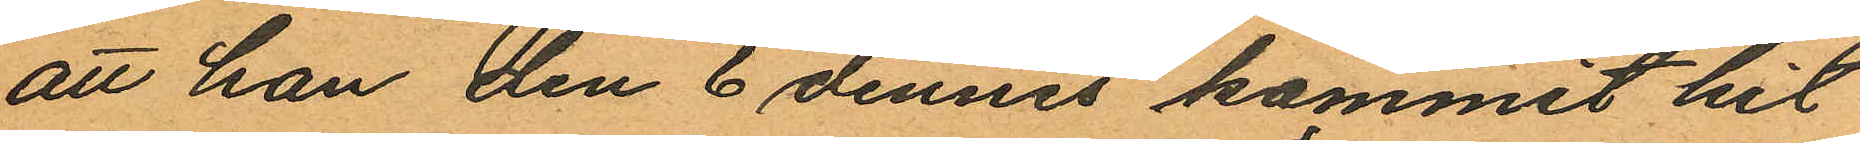att han den 6 dennes kommit hit
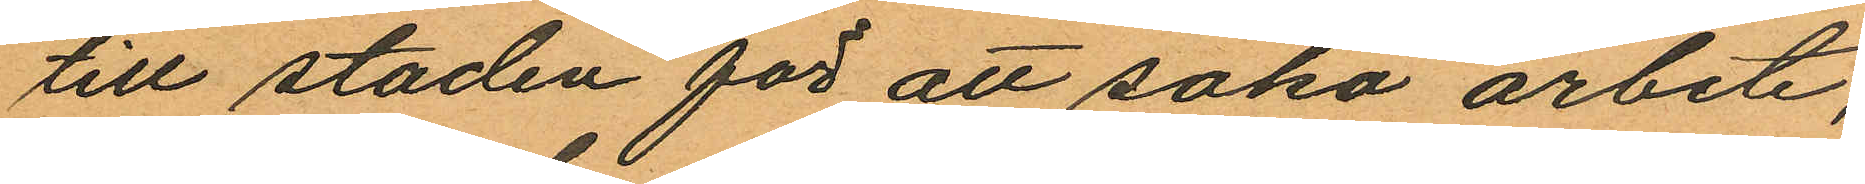till staden för att söka arbete,
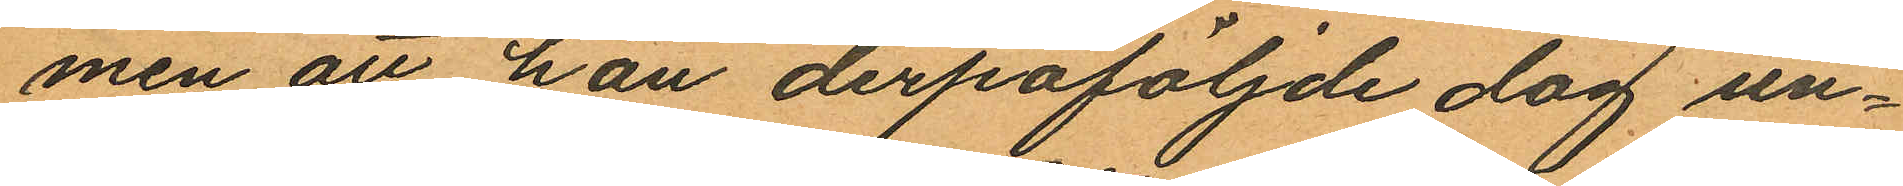men att han derpåföljnde dag un¬
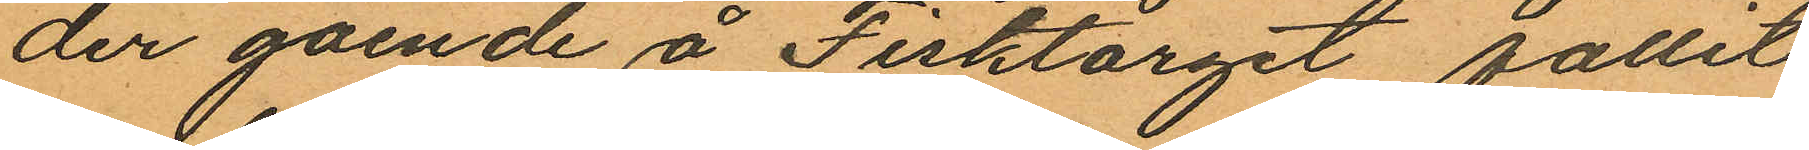der gående å Fisktorget fallit
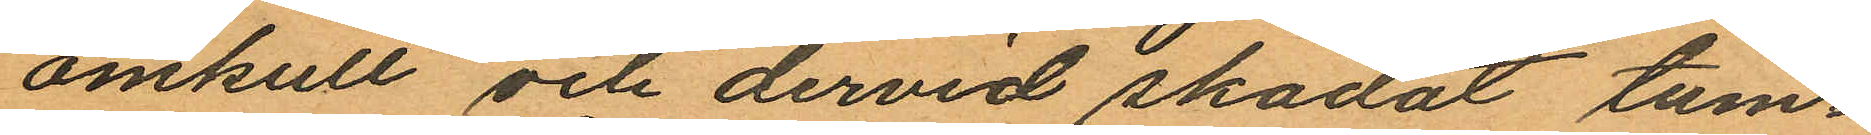omkull och dervid skadat tum¬
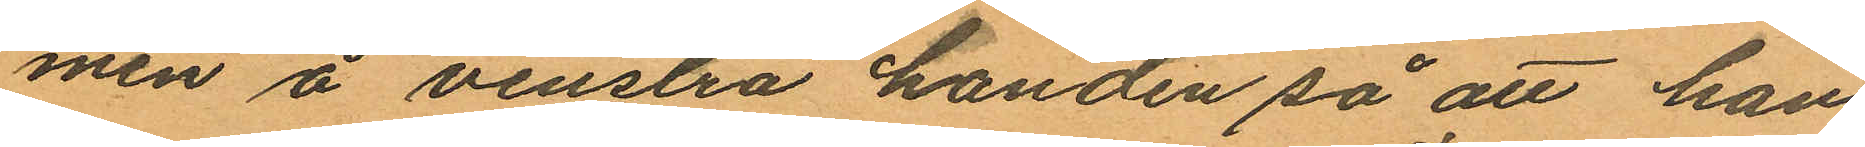men å venstra handen så att han
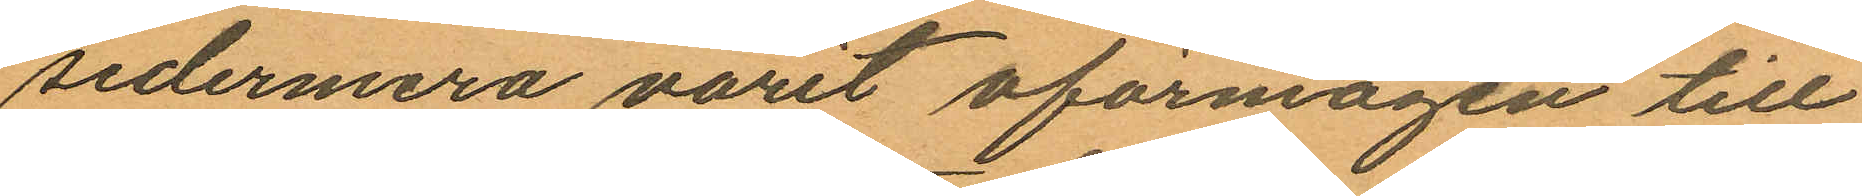sedermera varit oförnågen till
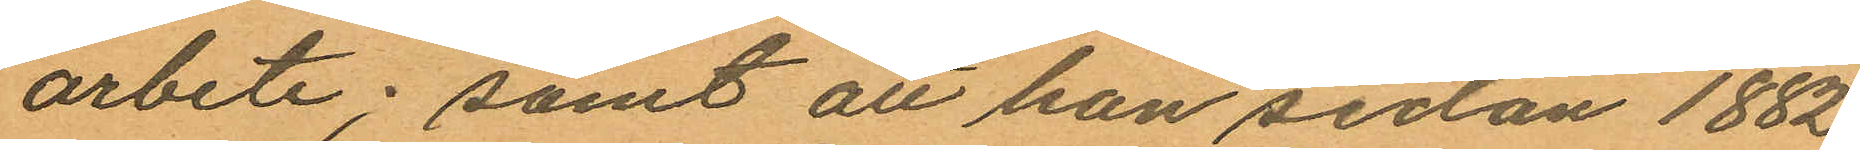arbete; samt att han sedan 1882
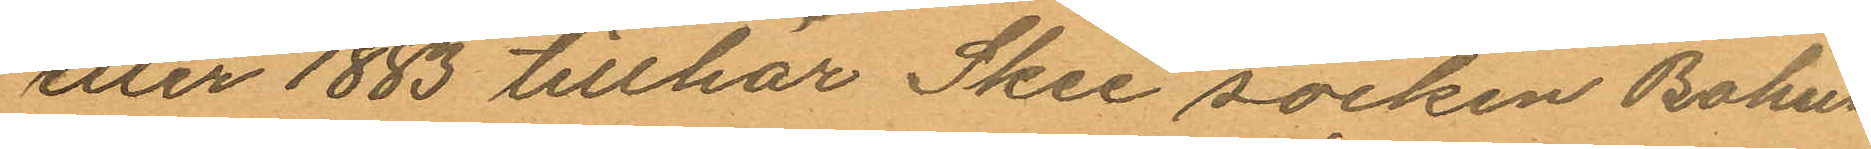eller 1883 tillhör Skee socken Bohus
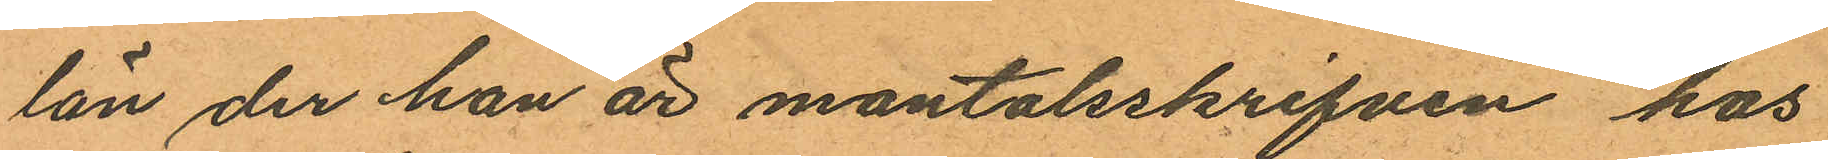län der han är mantalsskrifven hos
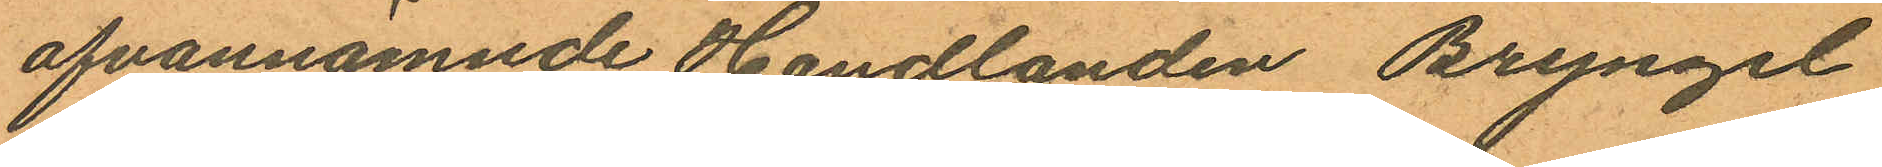ofvannämnde Handlanden Bryngel
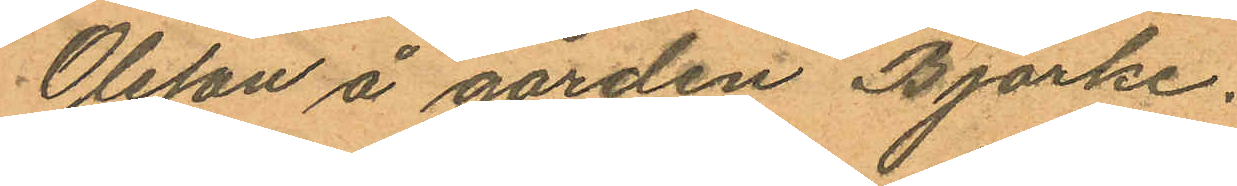Olsson å gården Björke.
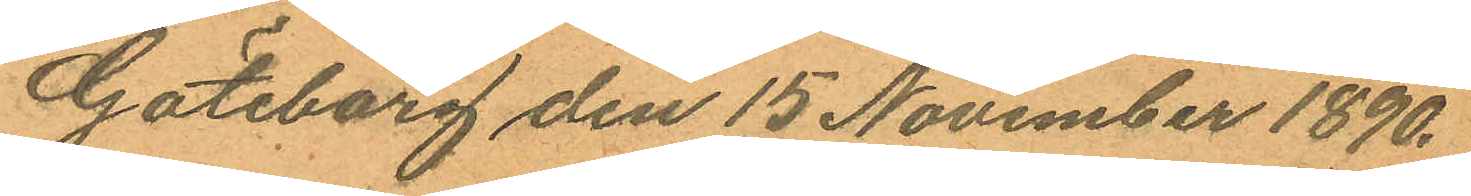Göteborg den 15 November 1890.
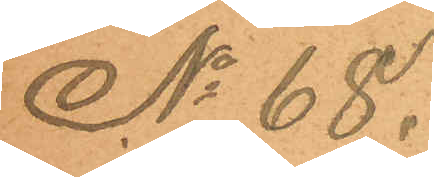No 68.
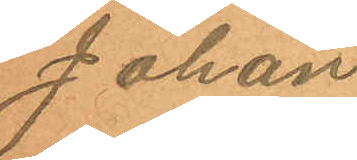Johan
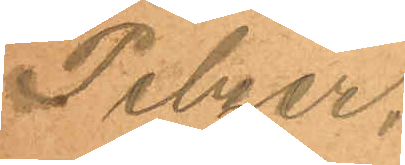Pelzer.
